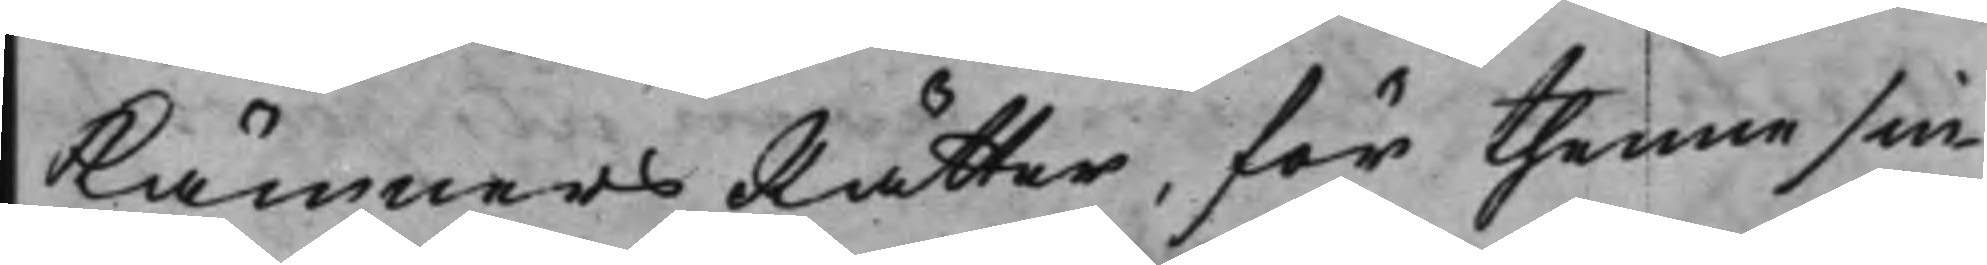KämnersRätter, för thenne sin
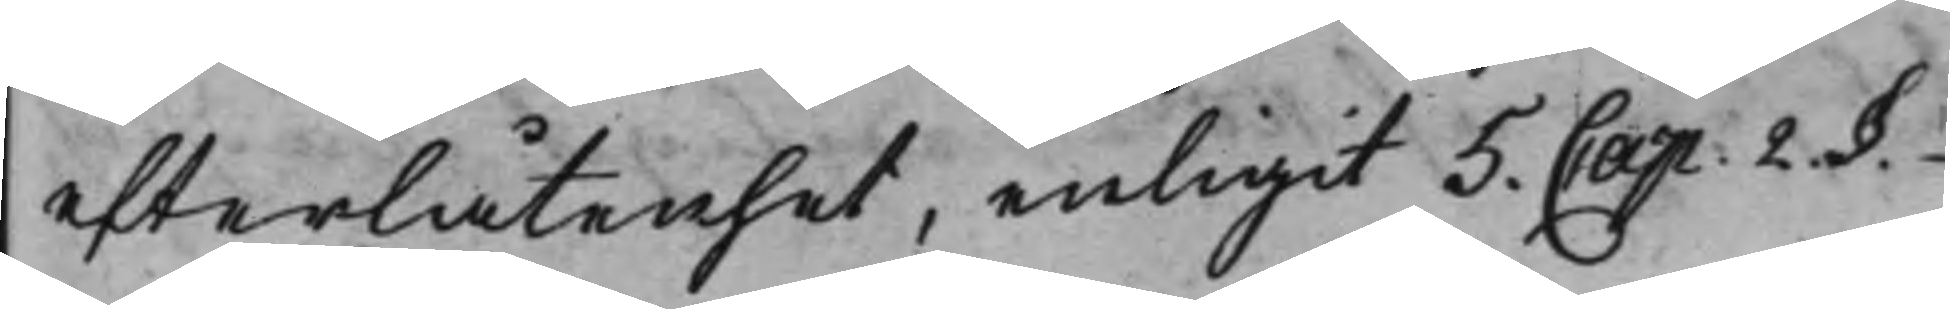efterlåtenhet, enligit 5 Cap. 2. §.
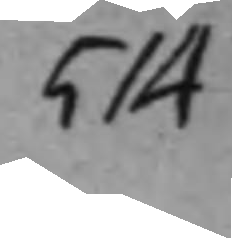514
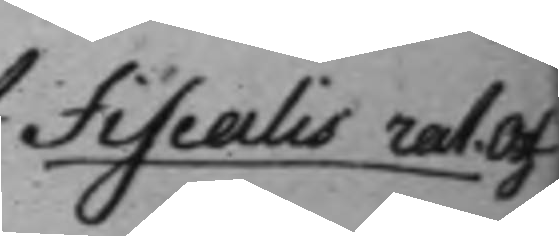Fiscalis rat. Of
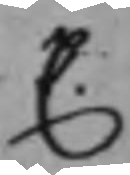C.
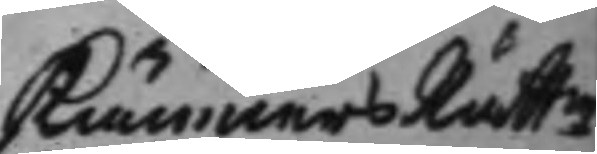KämnersRättn
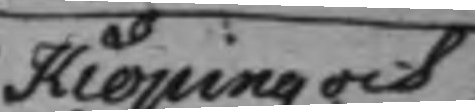i Kiöping och
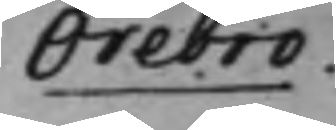Örebro.
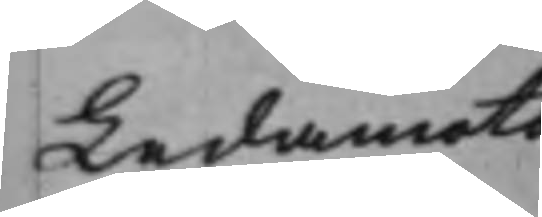Ledamots
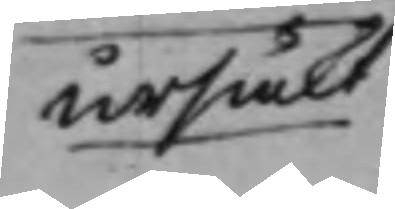ursäkt
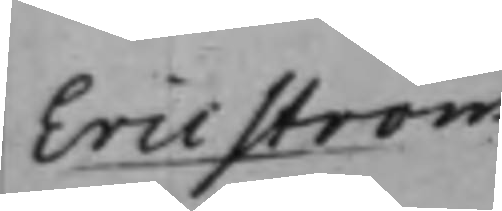Eric Ström
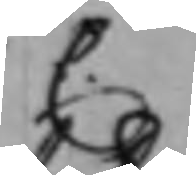C.
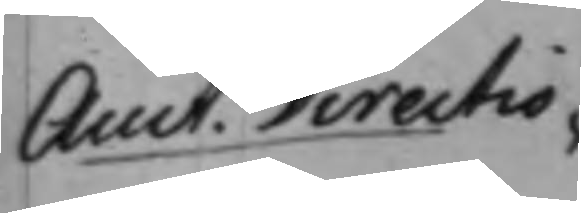Auct. Directio¬
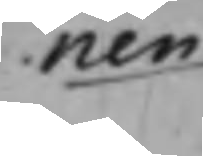nen
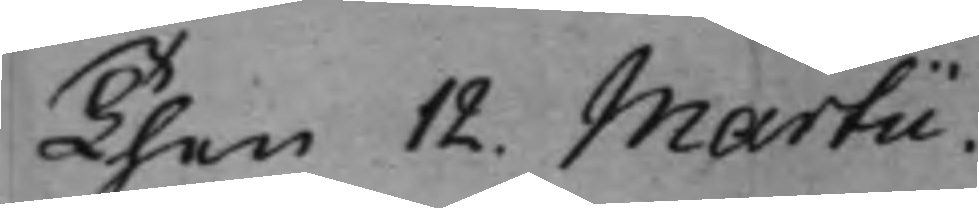Then 12. Martii
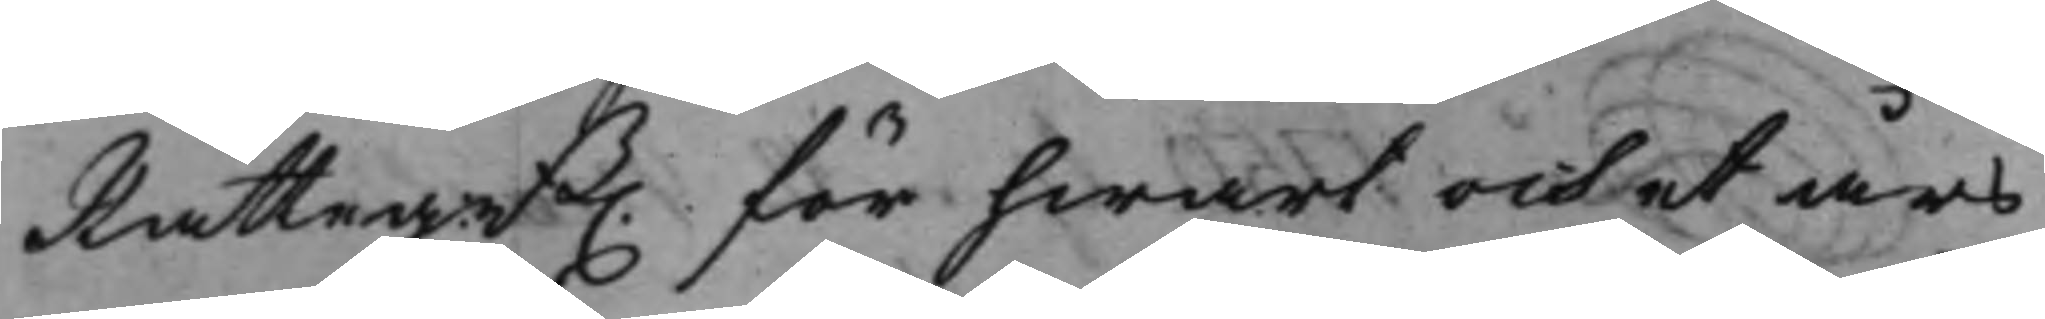Rätteg:nB. för hwart och et års
